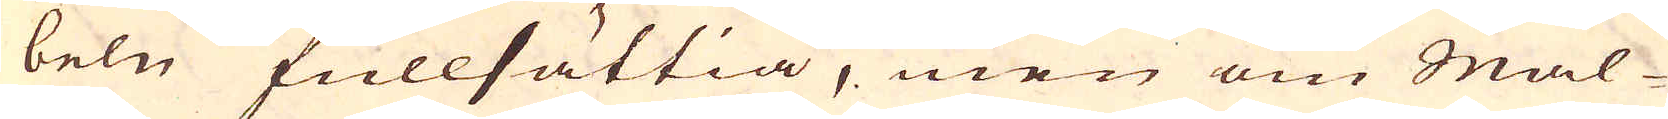beln fullsättia, men om Mal-
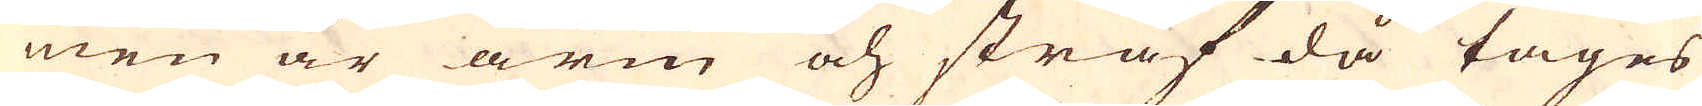men är arm och sträf då tages
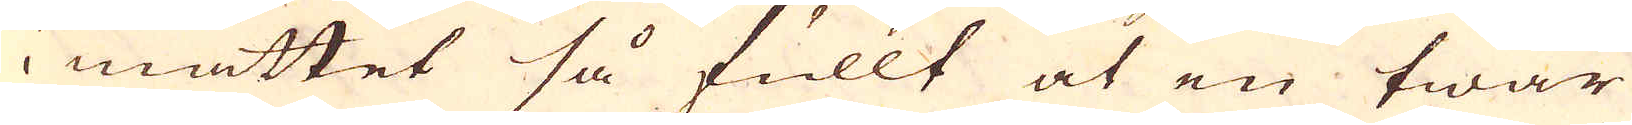i måttet så fullt at en twär
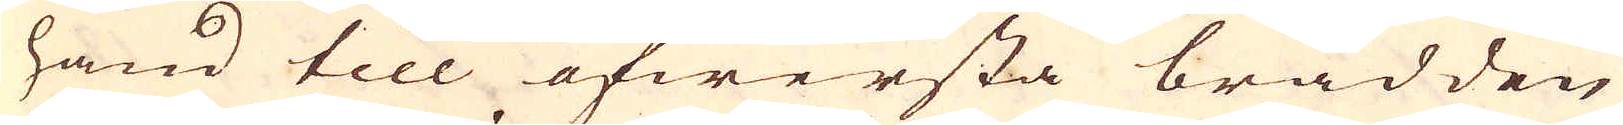hand till öfwersta brädden
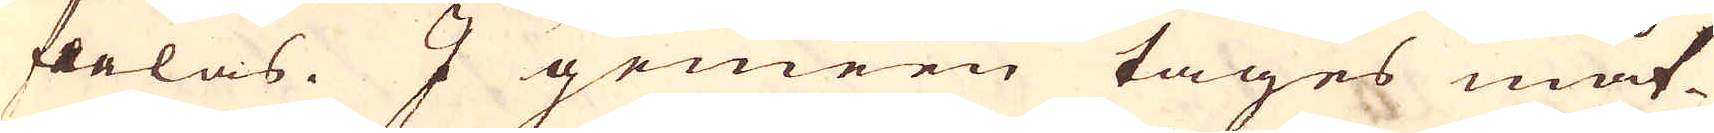feelas. I gemeen tages måt-
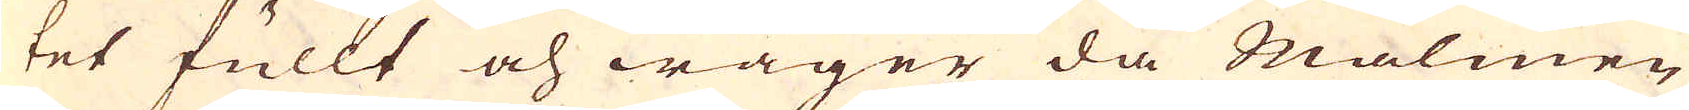tet fullt och wäger då Malmen
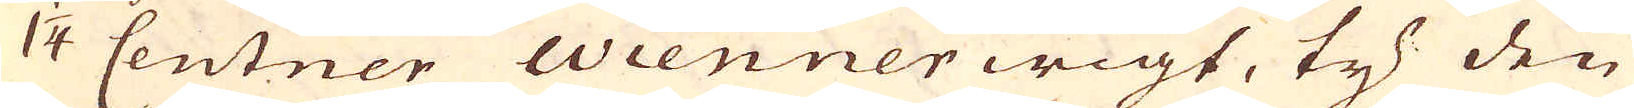1 1/4 Centner Wienner wigt, ty den
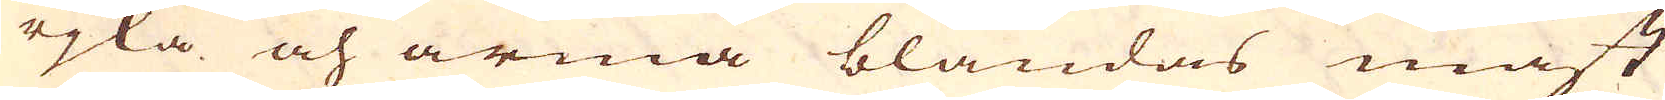rjka och arma blandas mäst
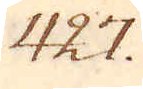427.
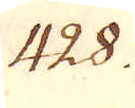428.
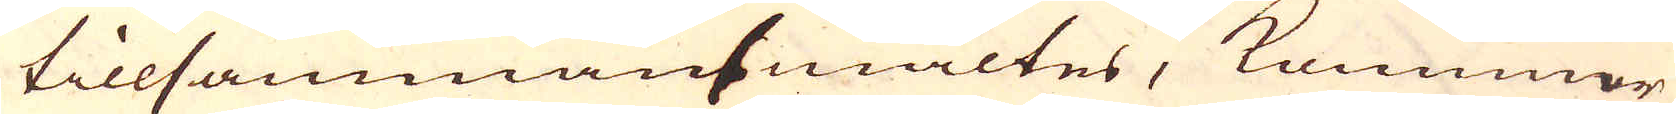tillsammansmältes, kommer
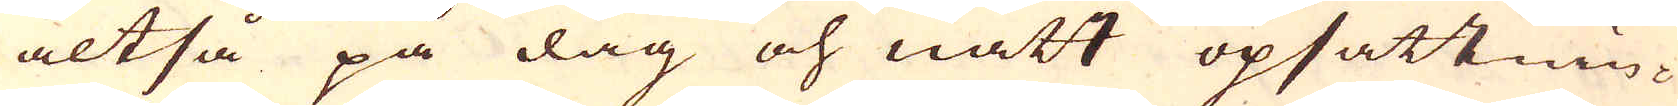altså på dag och natt opsättnin-
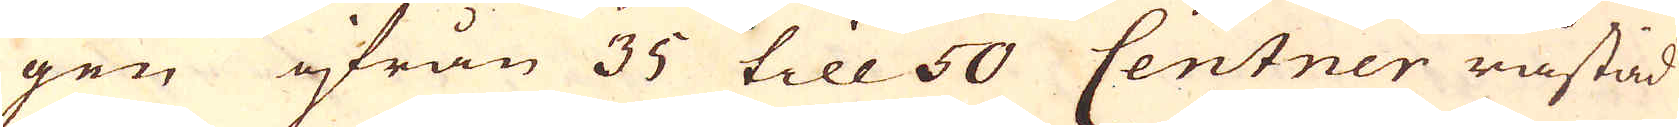gen ifrån 35 till 50 Centner råstad
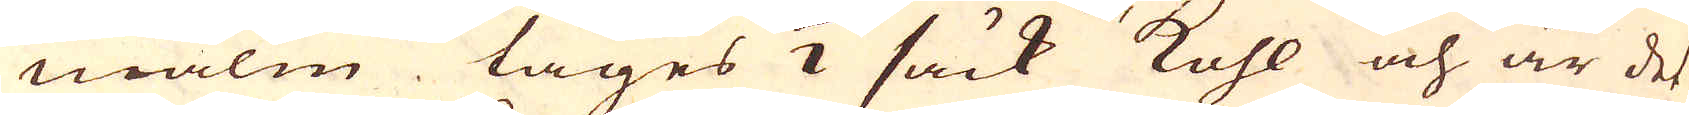malm tages 1/2 säck kohl och är det
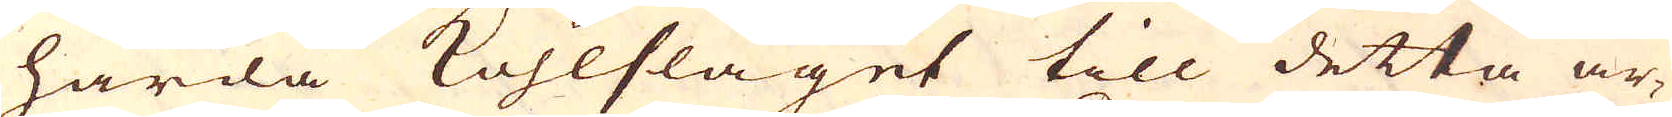hårda kohlslaget till detta ar-
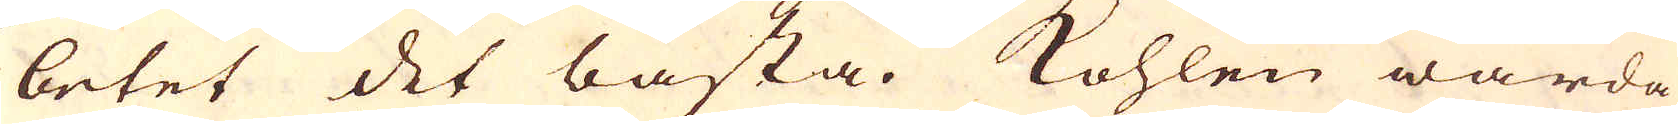betet det bästa. Kohlen warda
